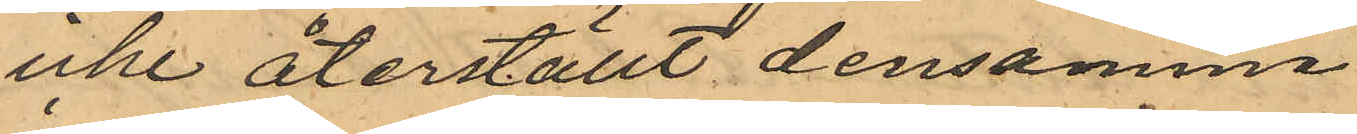icke återställt densamma.
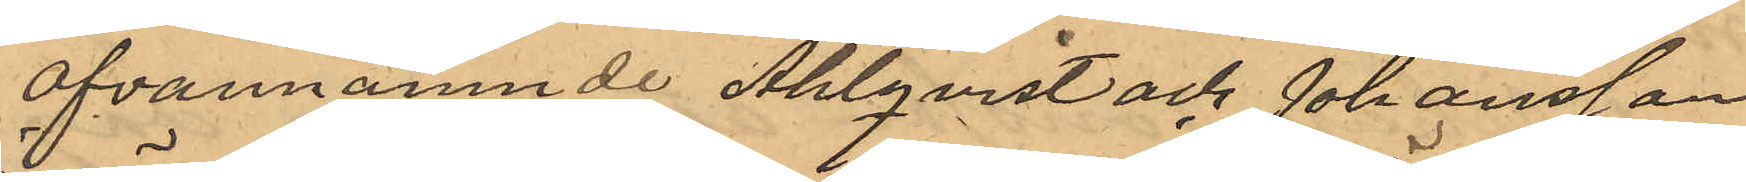Ofvannämnde Ahlqvist och Johansson
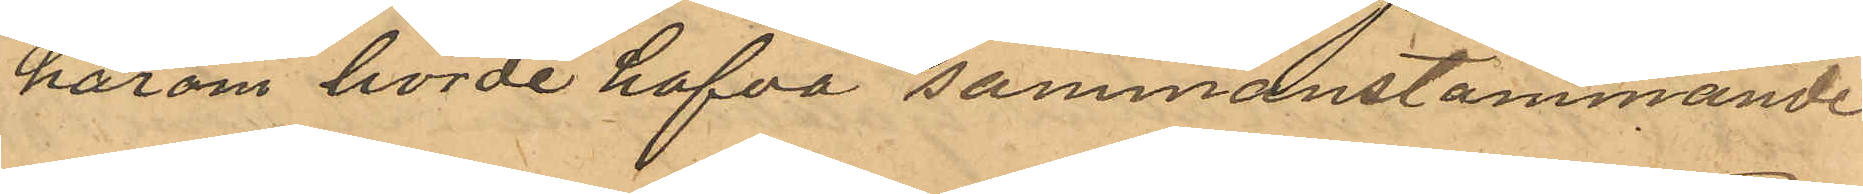härom hörde hafva sammanstämmande
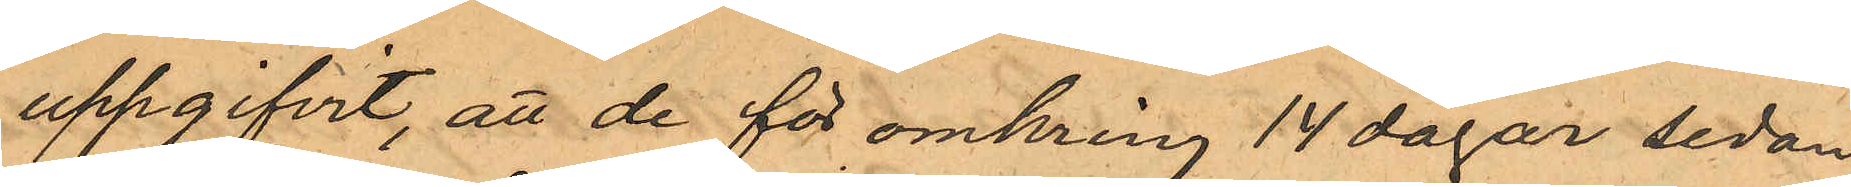uppgifvit, att de för omkring 14 dagar sedan
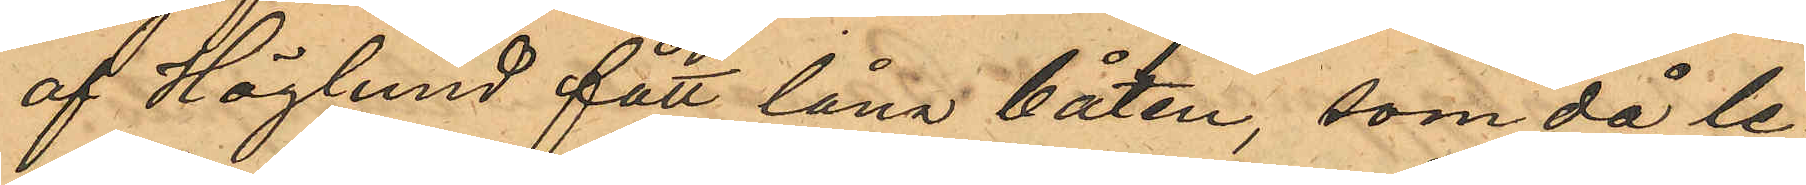af Höglund fått låna båten, som då le¬
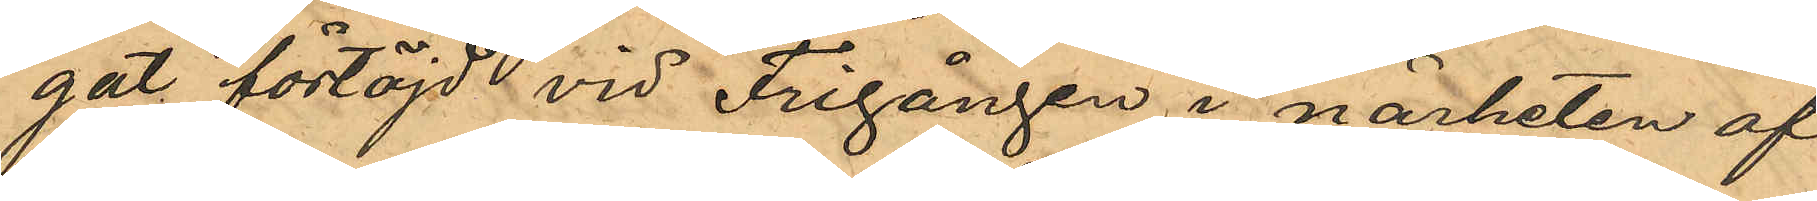gat förtöjd vid Frigången i närheten af
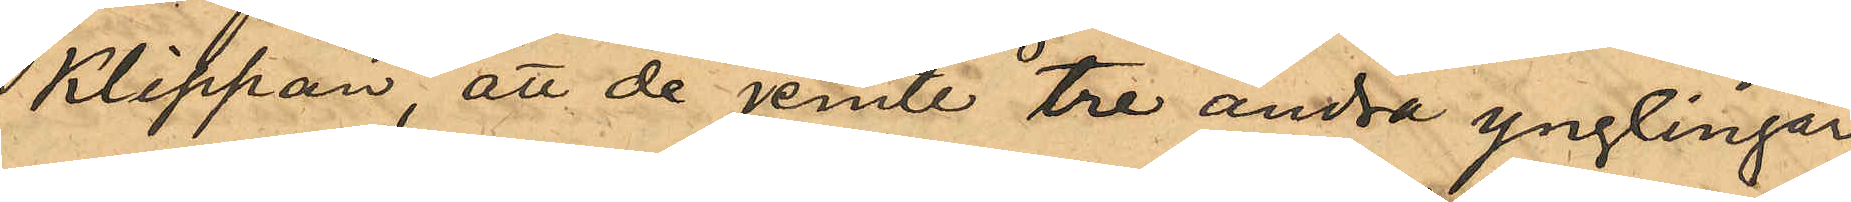Klippan, att de jemte tre andra ynglingar
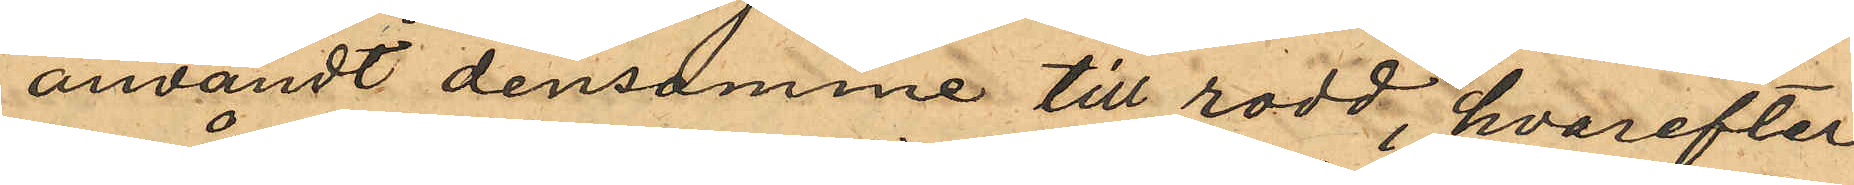användt densamme till rodd, hvarefter
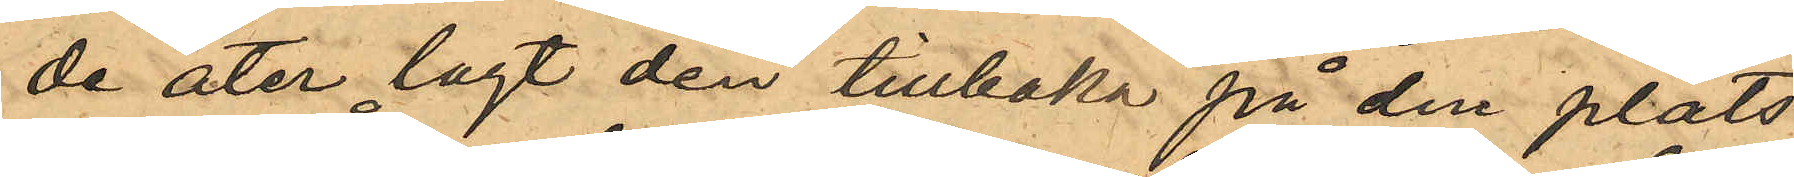de åter lagt den tillbaka på den plats,
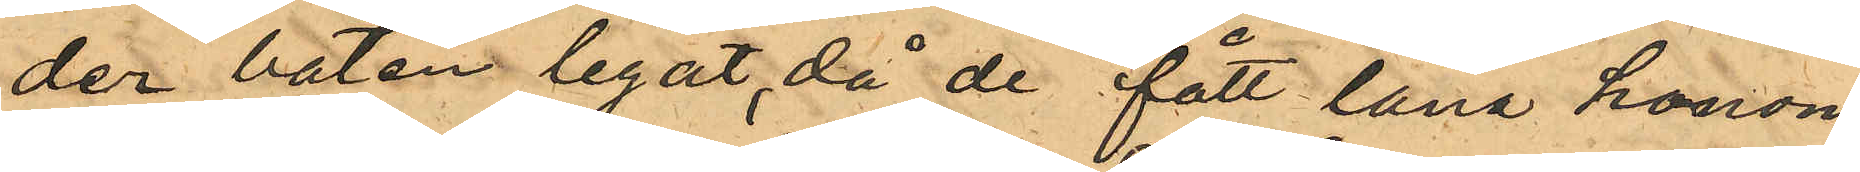der båten legat, då de fått låna honom
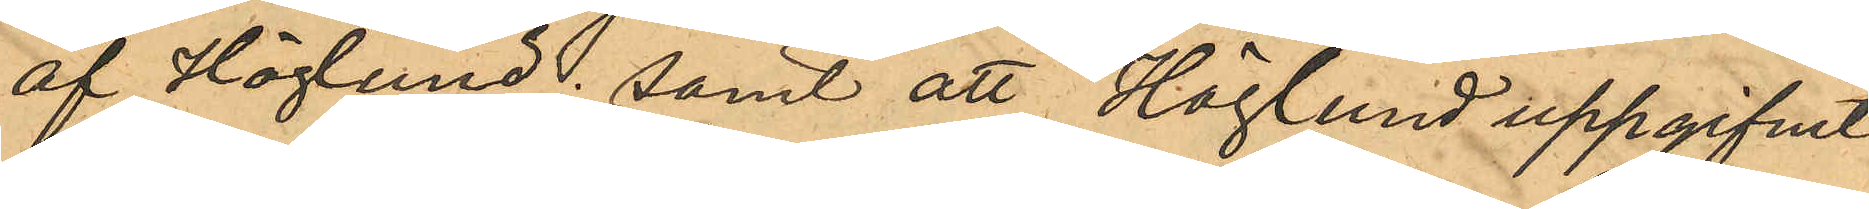af Höglund; samt att Höglund uppgifvit
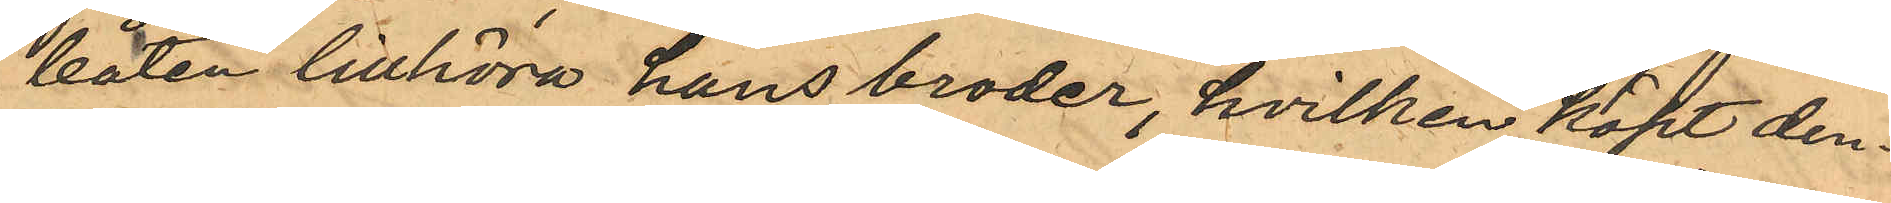båten tillhöra hans broder, hvilken köpt den¬
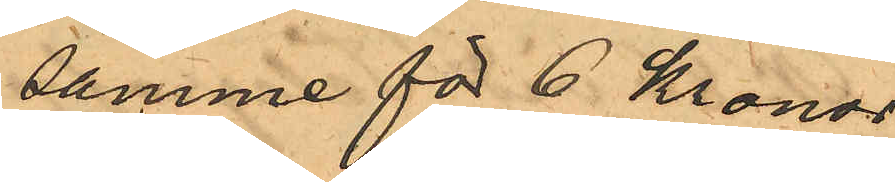samme för 6 Kronor.
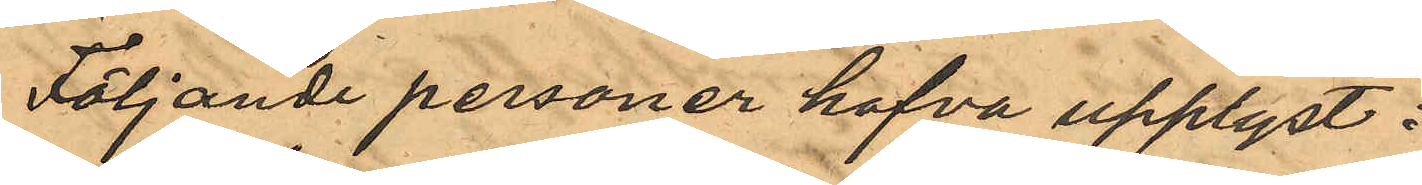Följande personer hafva upplyst:
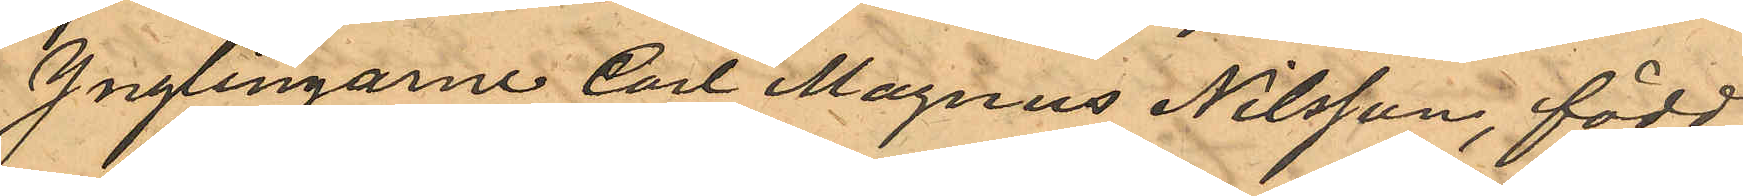Ynglingarne Carl Magnus Nilsson, född
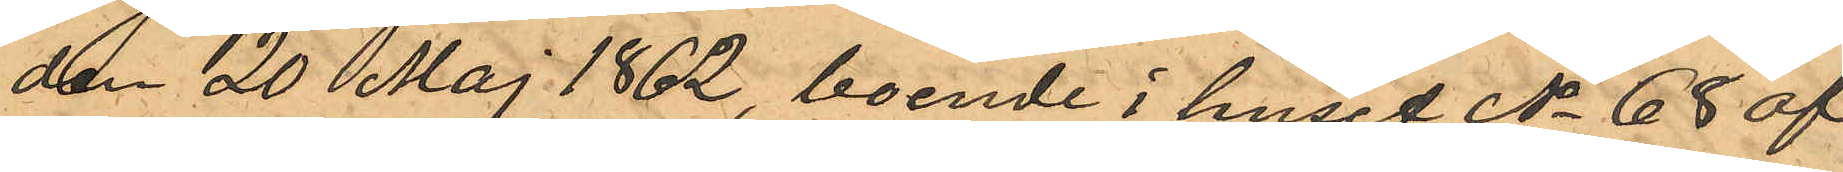den 20 Maj 1862, boende i huset No 68 af
